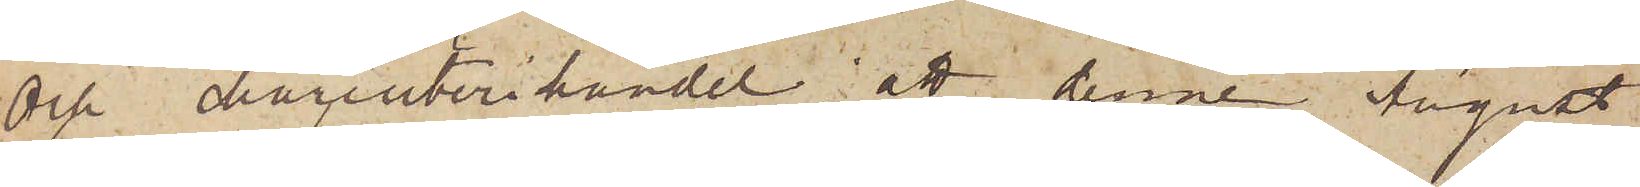och charcuterihandel; att denne August
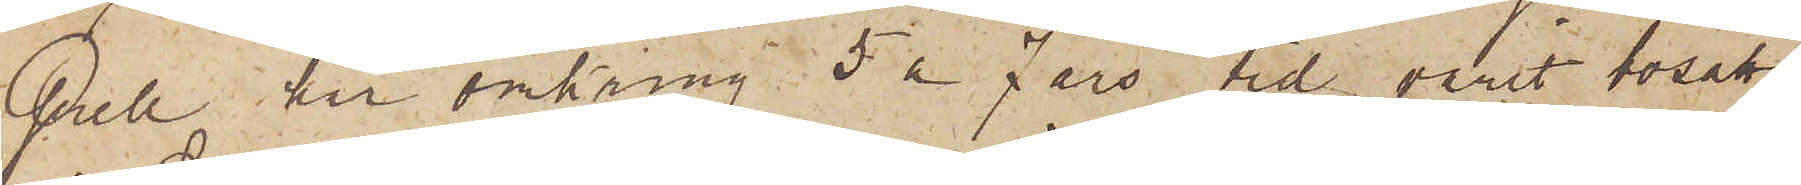Grell har omkring 5 á 7 års tid varit bosatt
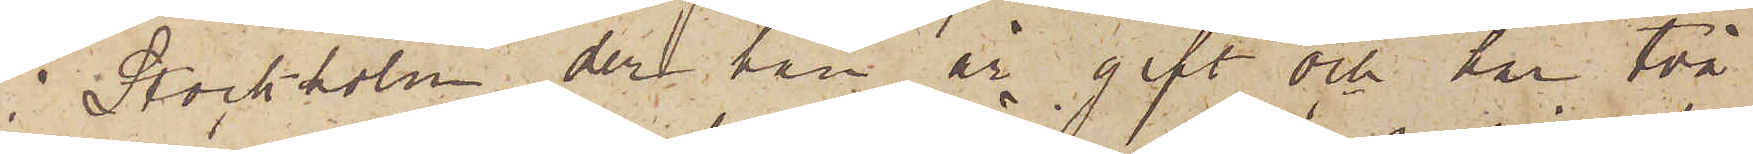i Stockholm der han är gift och har två
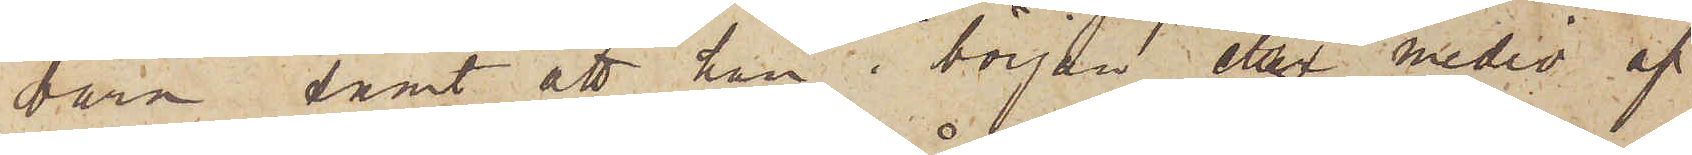barn samt att han i början eller medio af
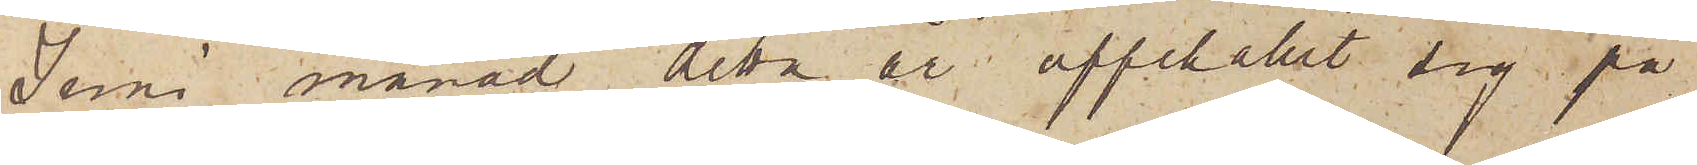Juni månad detta år uppehållit sig på
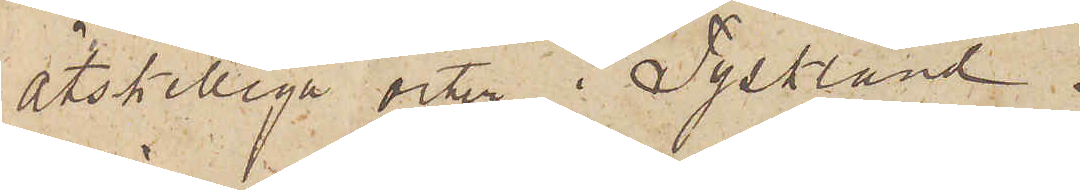åtskilliga och i Tyskland.
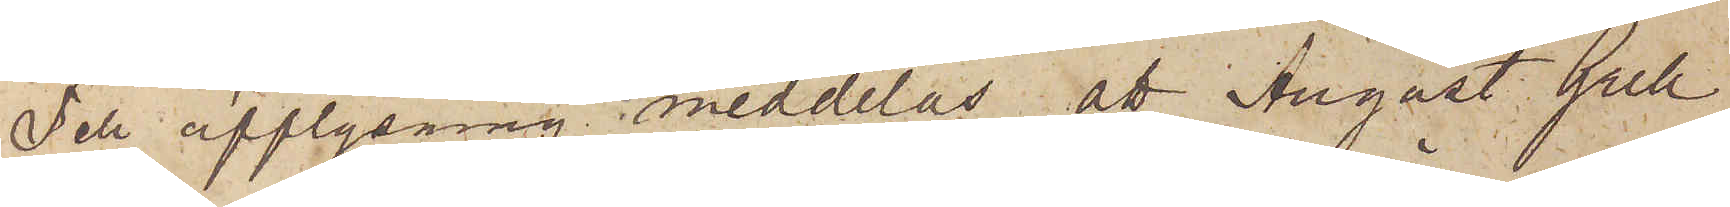Till upplysning meddelas att August Grell
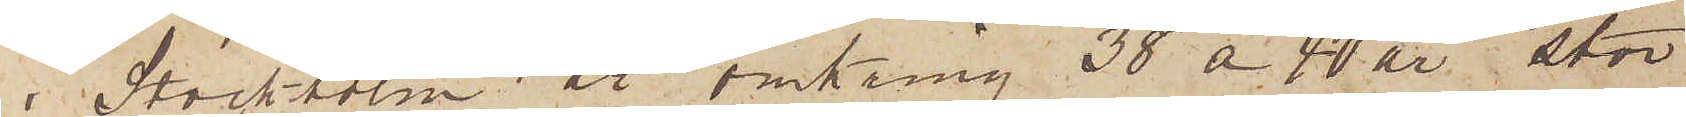i Stockholm är omkring 38 á 40 år stor
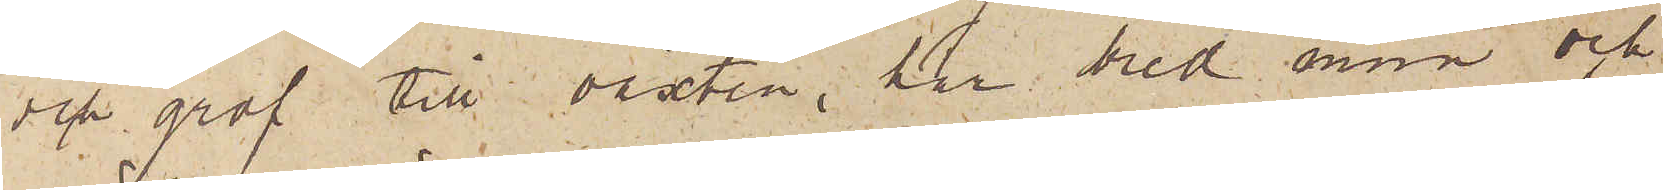och grof till växten, har bred mun och
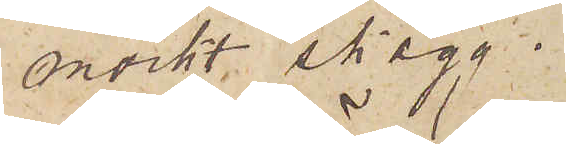mörkt skägg.
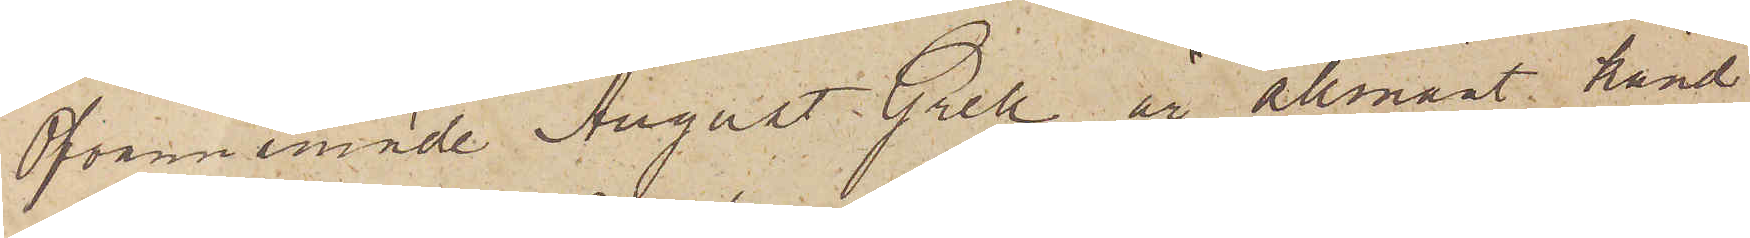Ofvannämnde August Grell är allmänt känd
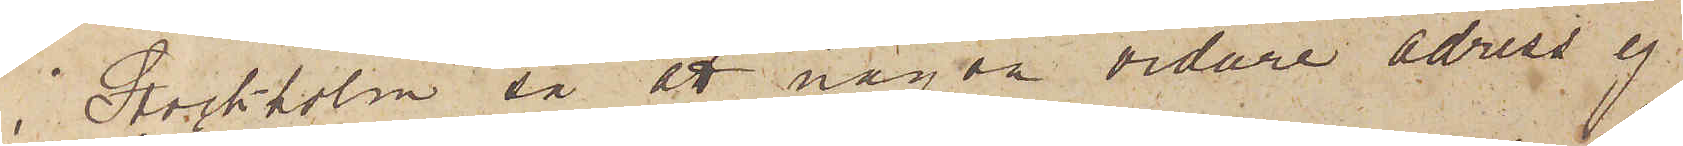i Stockholm så att någon vidare adress ej
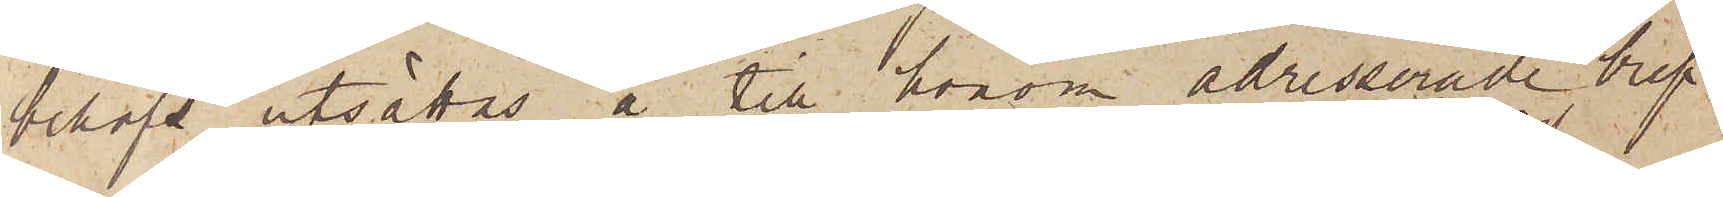behöfs utsättas å till honom adresserade bref.
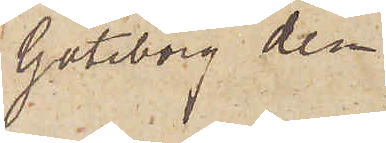Göteborg den
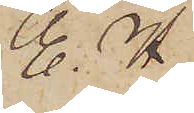E. H.
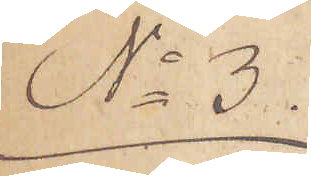No 3.
